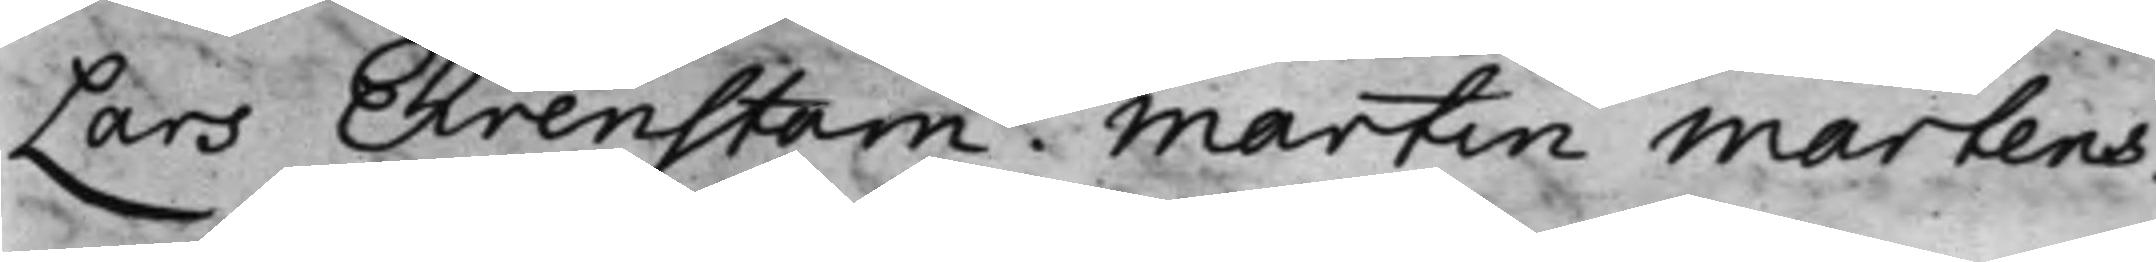Lars Ehrenstam. Martin Martens.
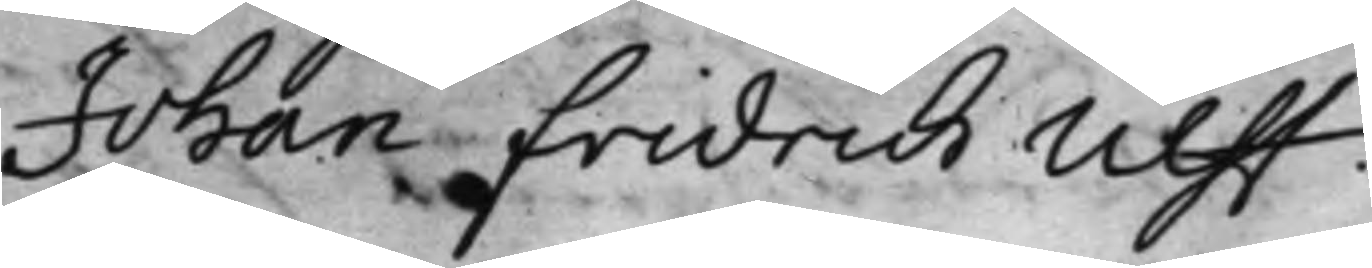Johan Fridrich Ulff.
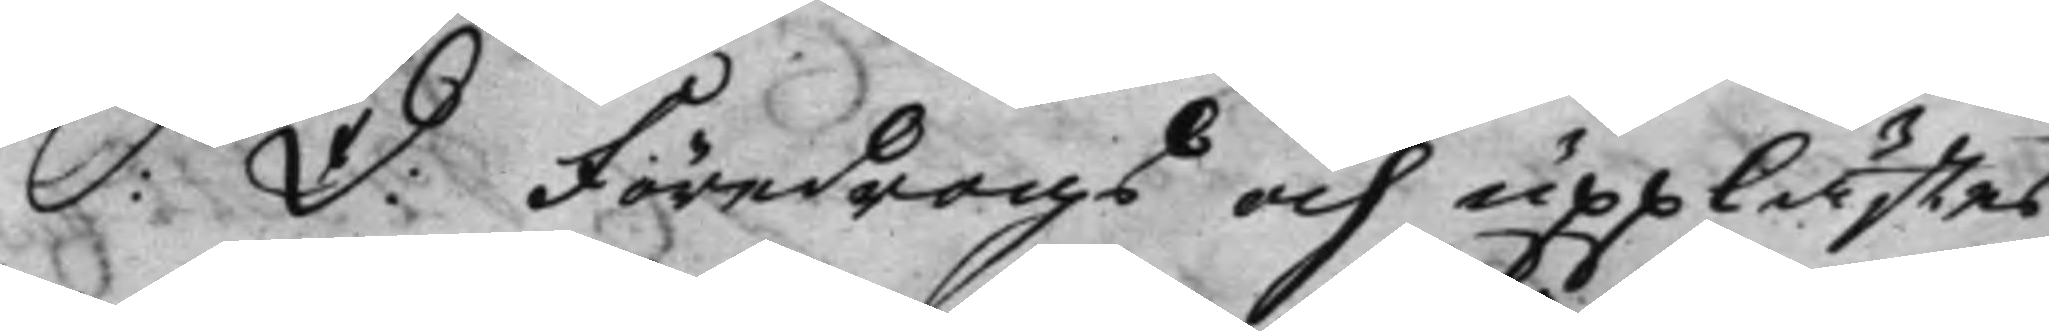S: d: Föredrogs och upplästes
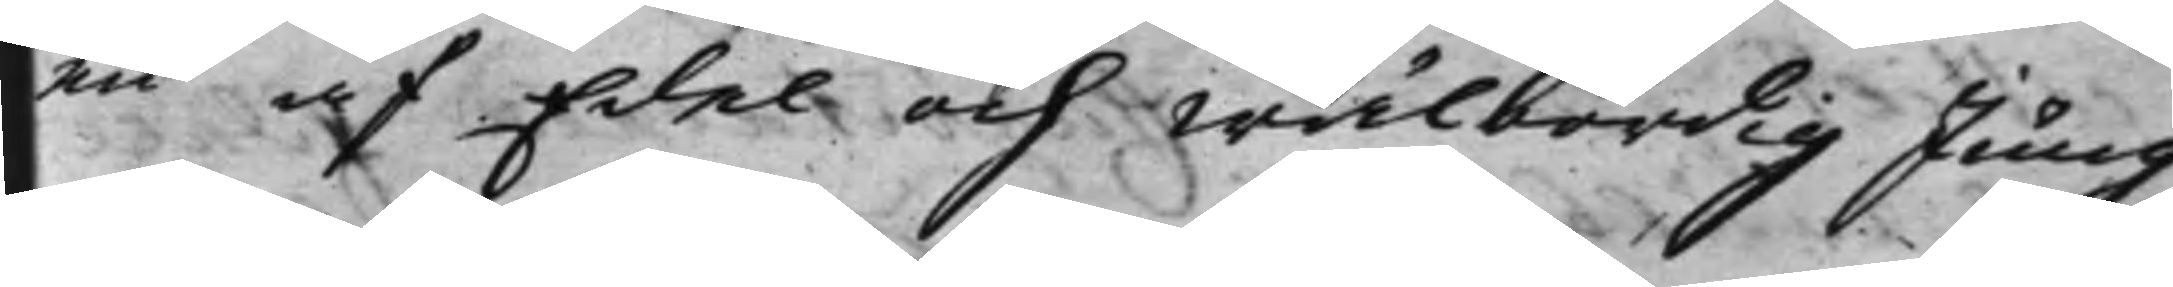en af Edel och Wälbördig Jung¬
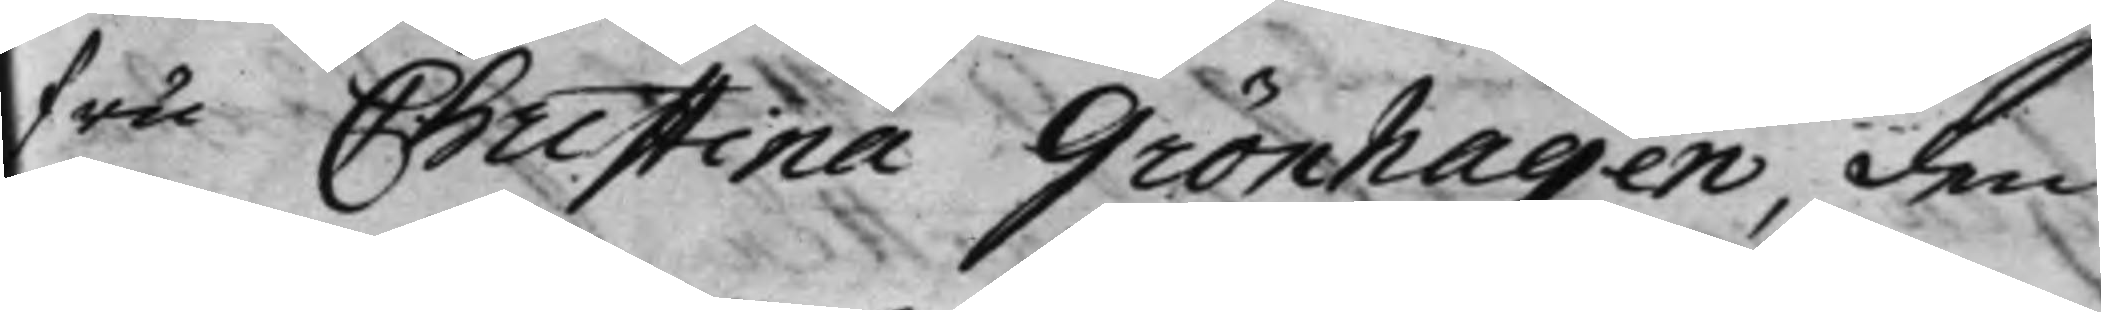fru Christina Grönhagen, den
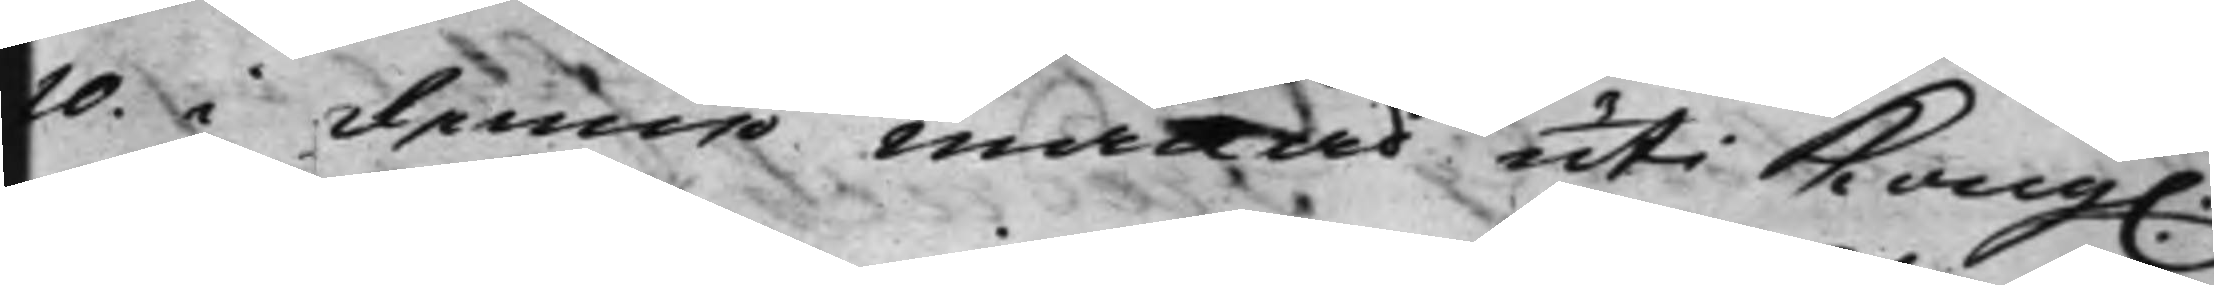10 i denna månad uti Kong.
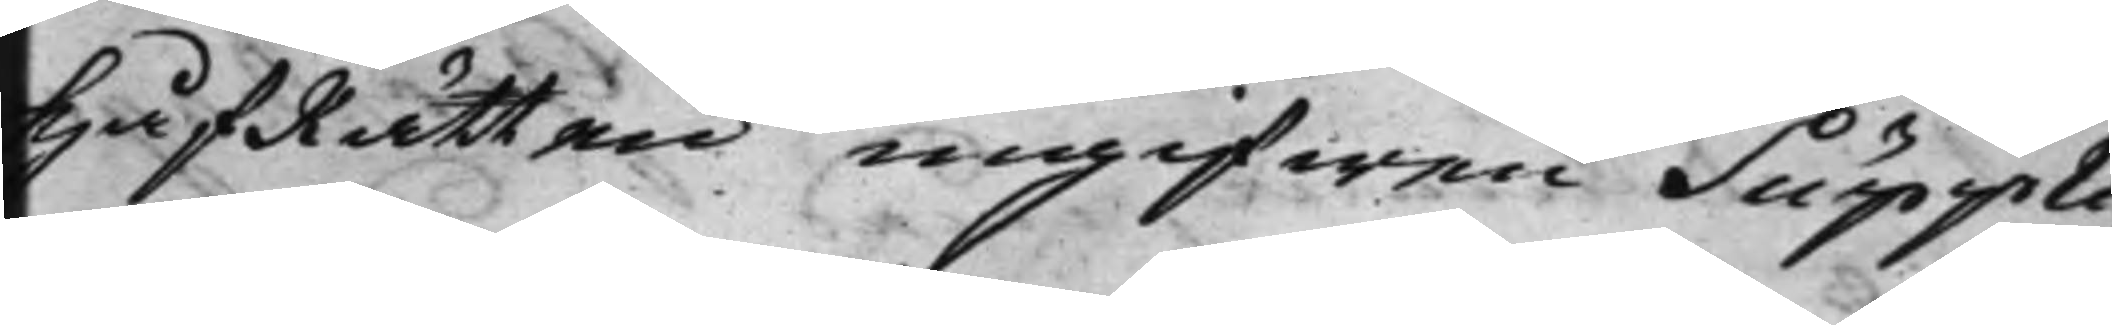HåfRätten ingifwen Suppli¬
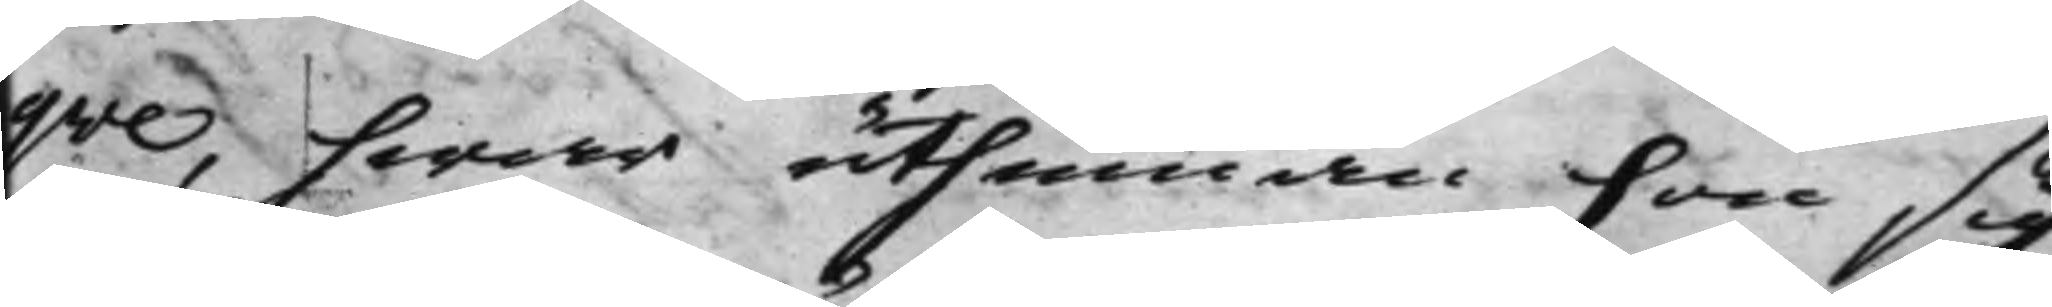qve, hwar uthinnan hon sig
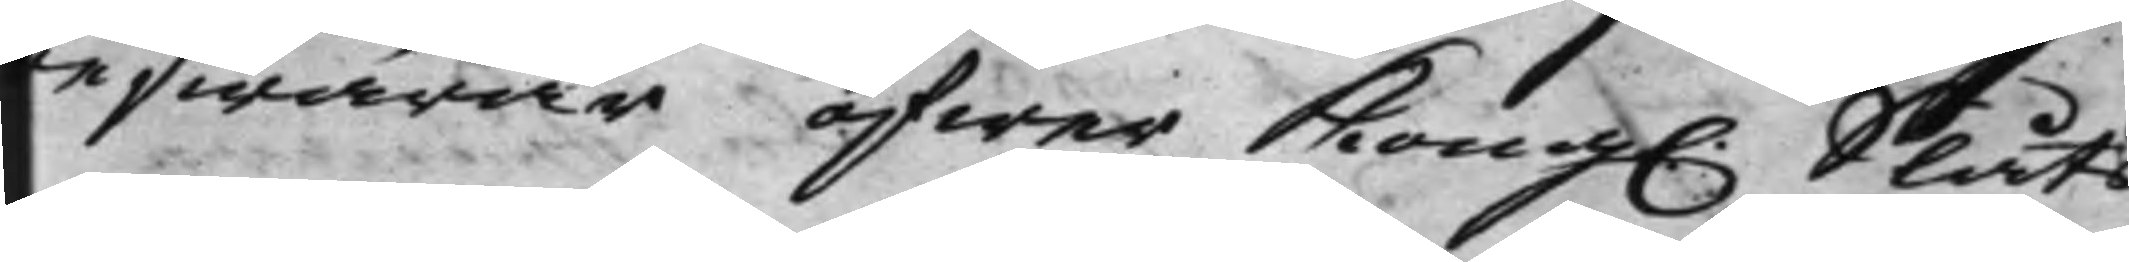beswärar öfwer Kong. Slåts
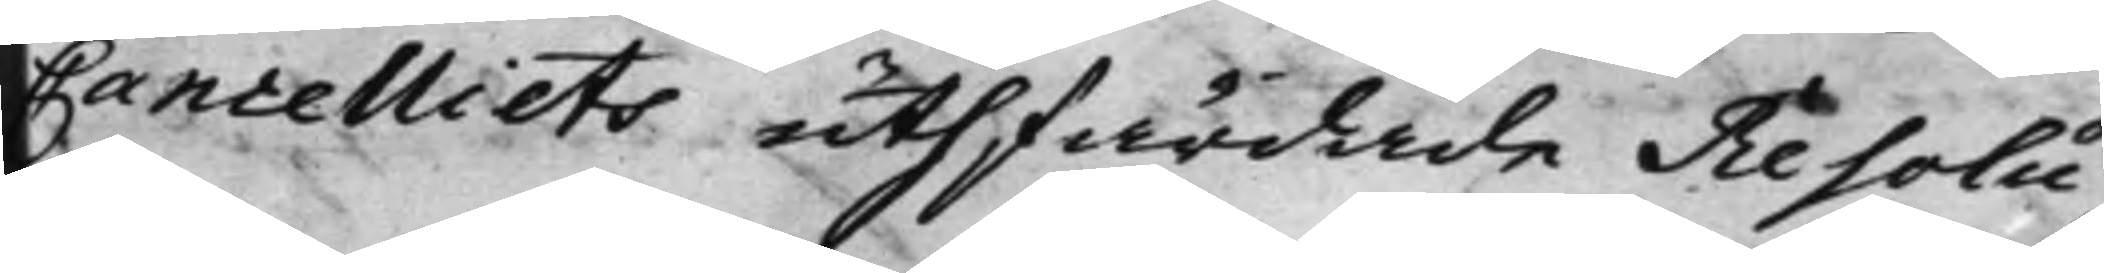Cancelliets uthfärdade Resolu¬
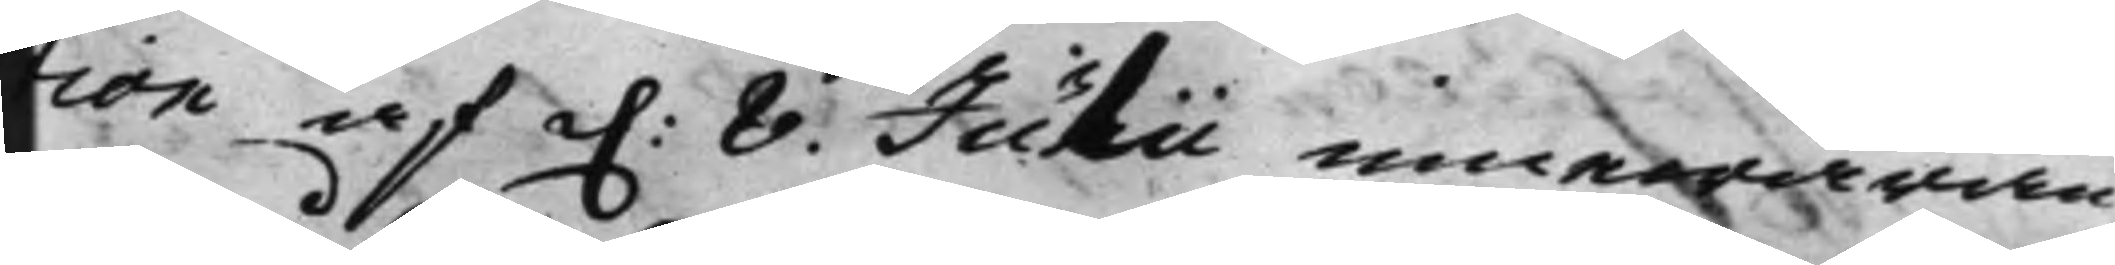tion af d. 8 Julii innewaran¬
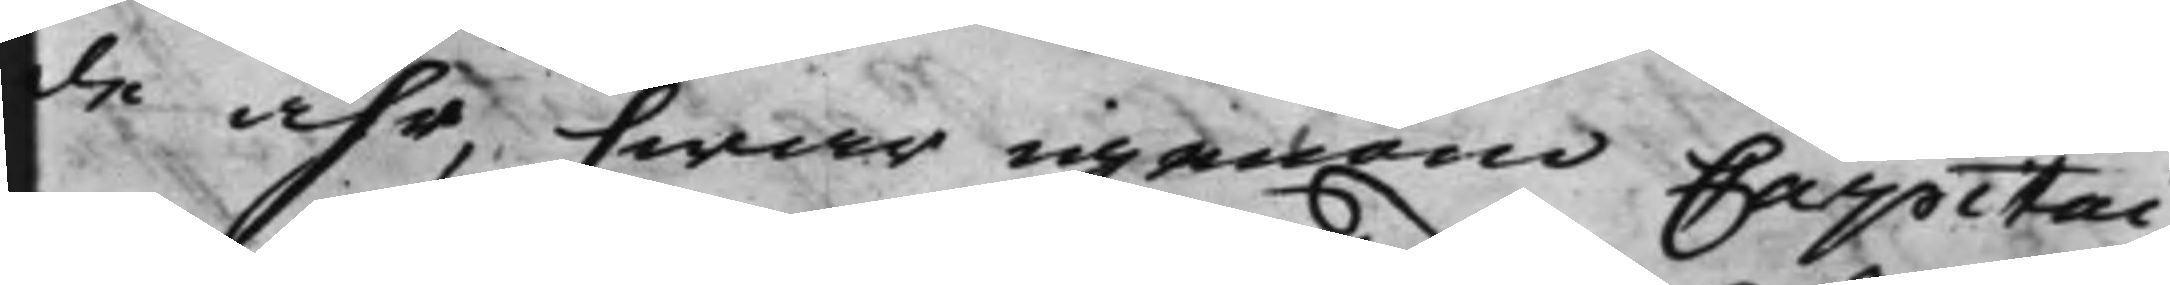de åhr, hwar igenom Capitai¬
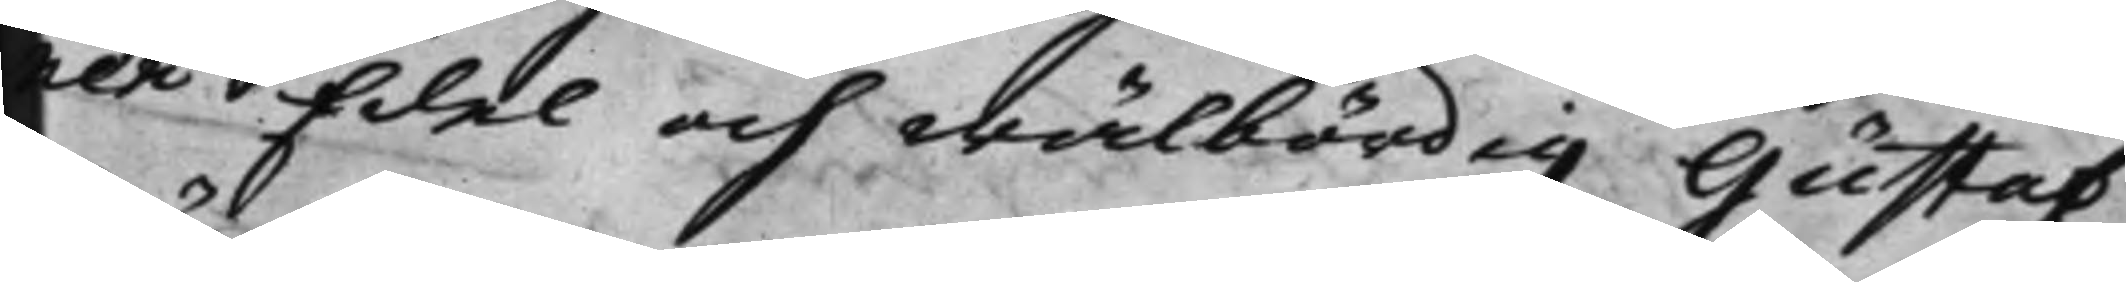nen Edel och wälbördig Gustaf
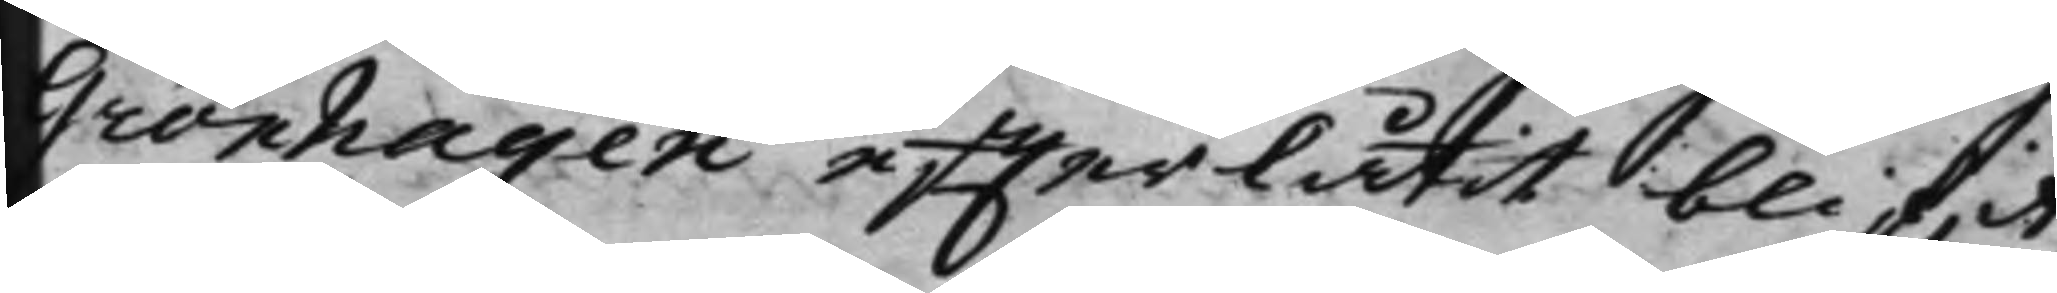Grönhagen effterlåtit blif.it,
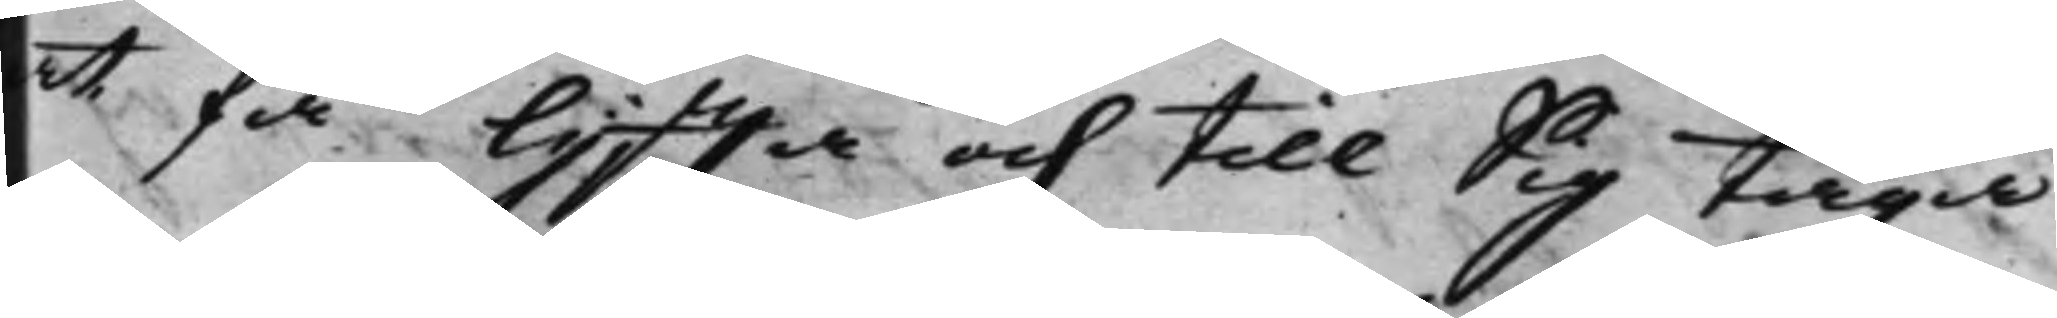at få lyffta och till Sig taga
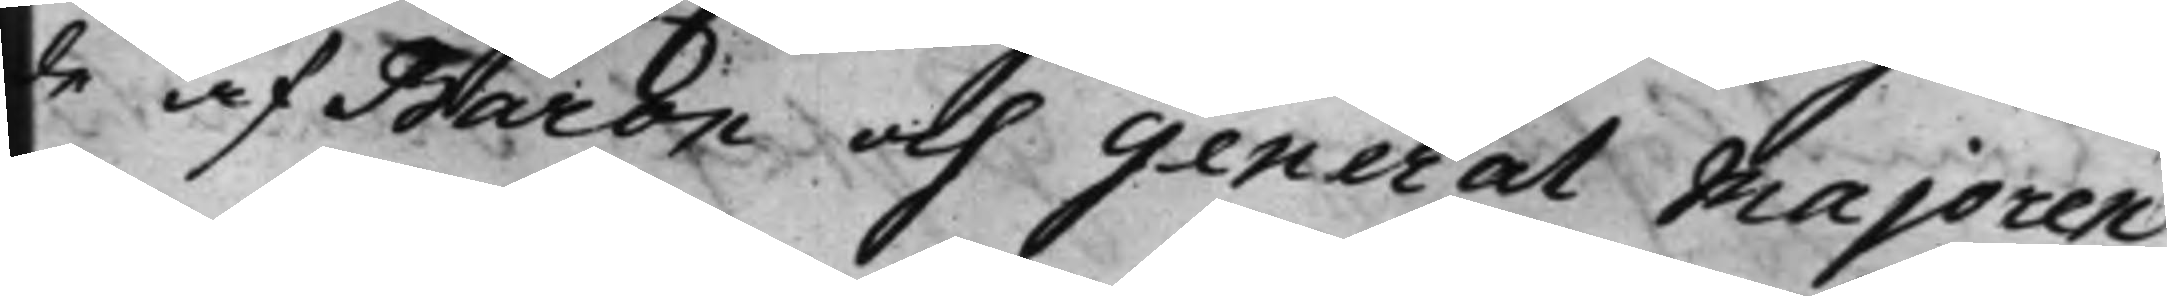de af Baron och general Majoren
